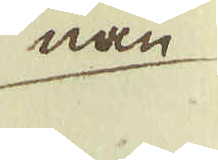nan
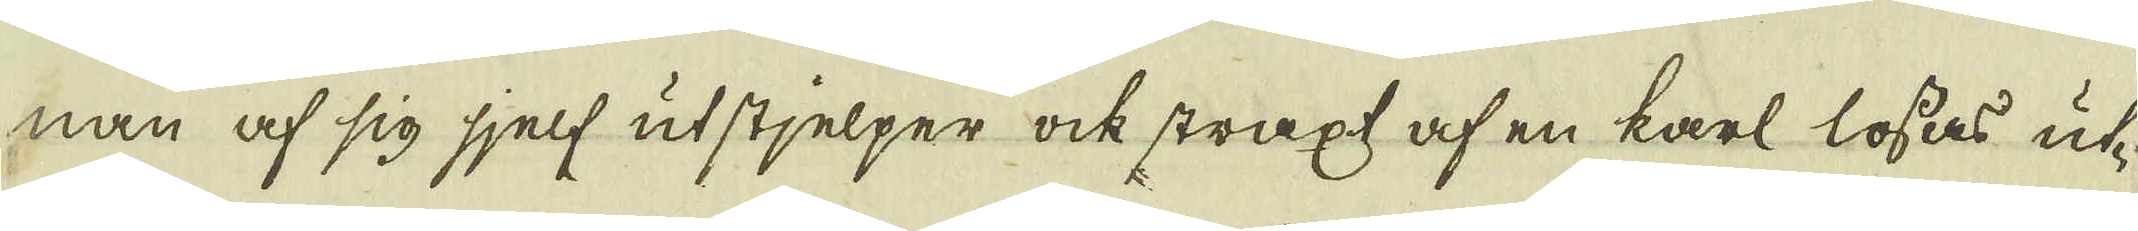nan af sig sjelf utstjelper ock straxt, af en karl lössas ut-
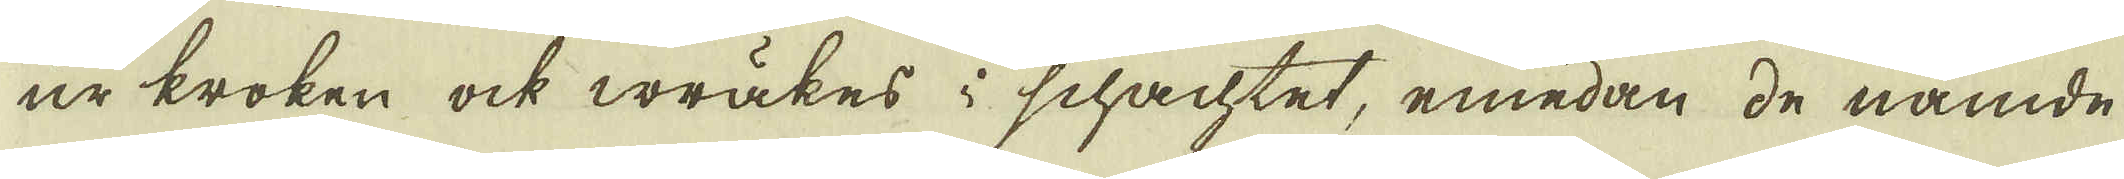ur kroken ock wräkes i schachtet, emedan de nämde
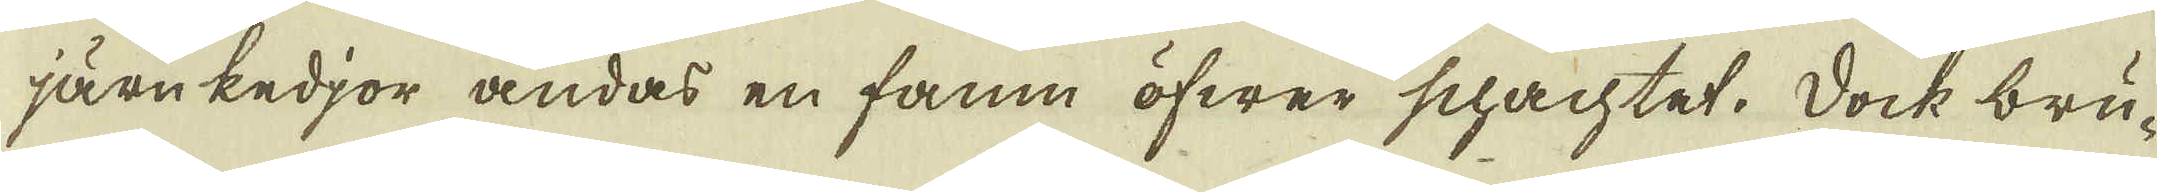järn kedjor ändas en famn öfwer schachtet. Dock bru-
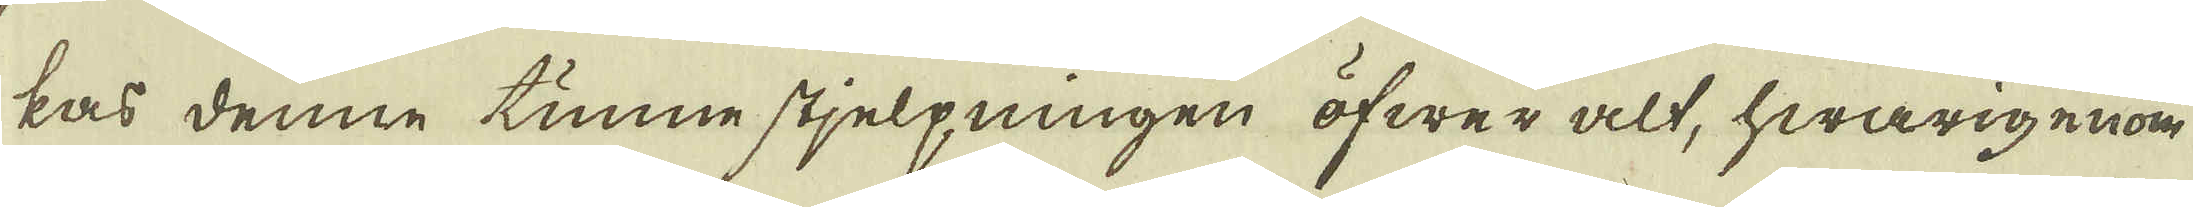kas denne tunne stjelpningen öfwer alt, hwarigenom
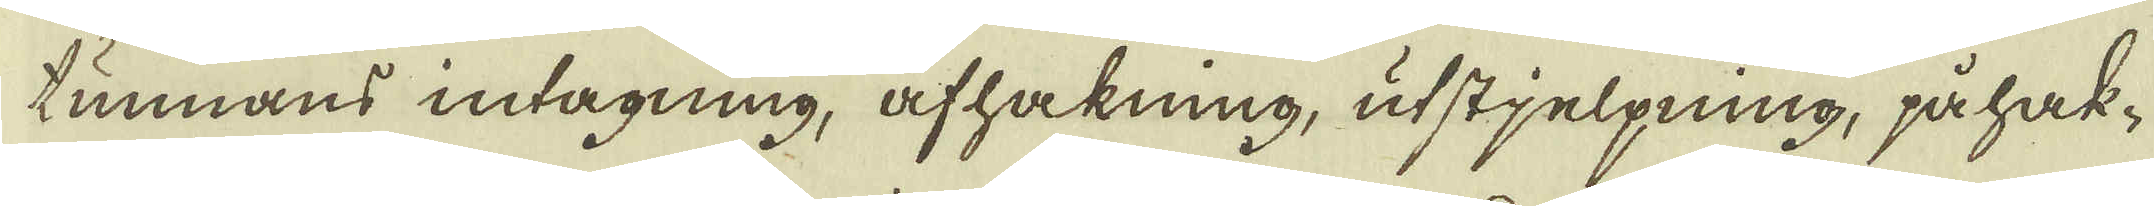tunnans intagning, afhakning, utstjelpning, påhak-
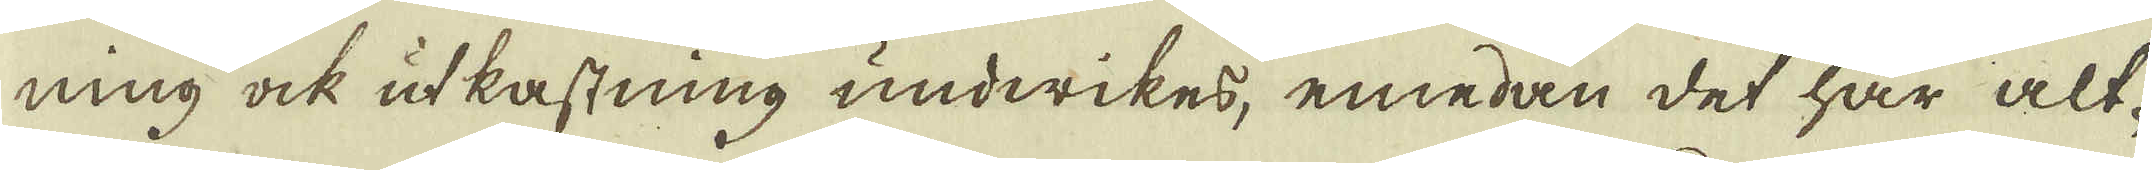ning ock utkastning undwikes, emedan det här alt-
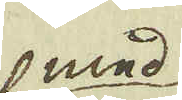med
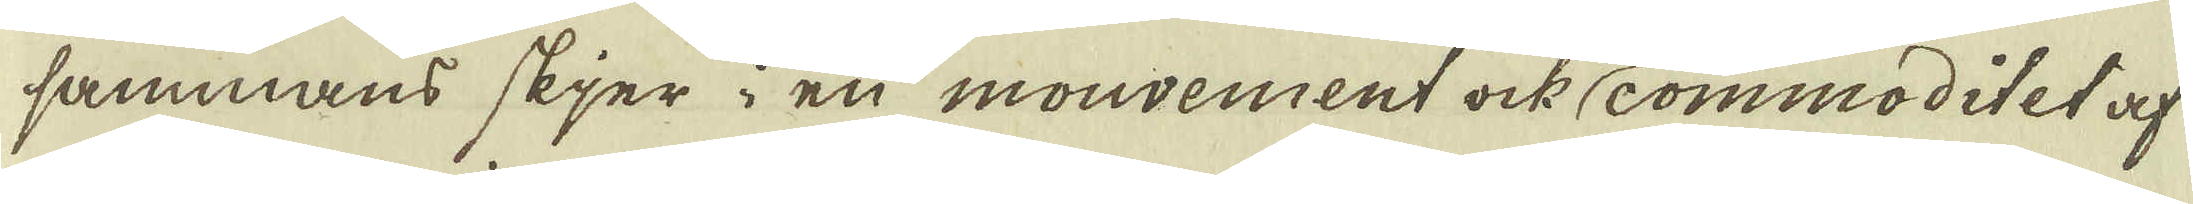sammans skjer i en mouvement ock commoditet af
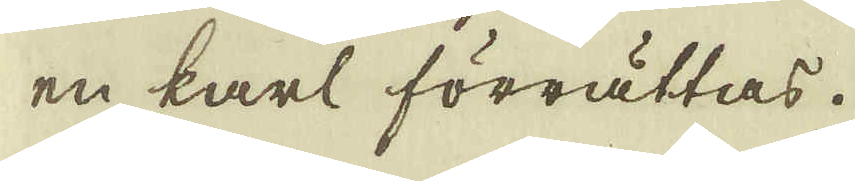en karl förrättas.
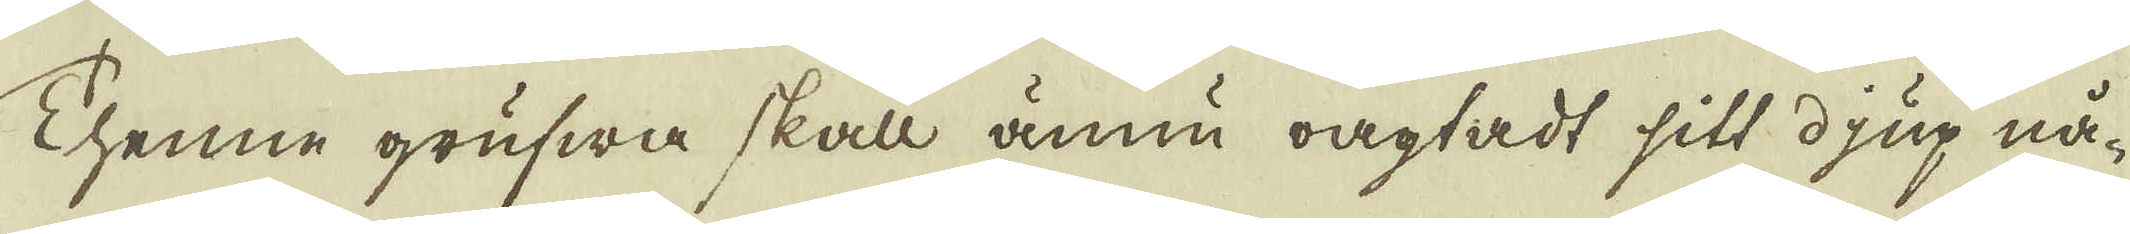Thenne grufwa skall ännu oagtadt sitt djup nå-
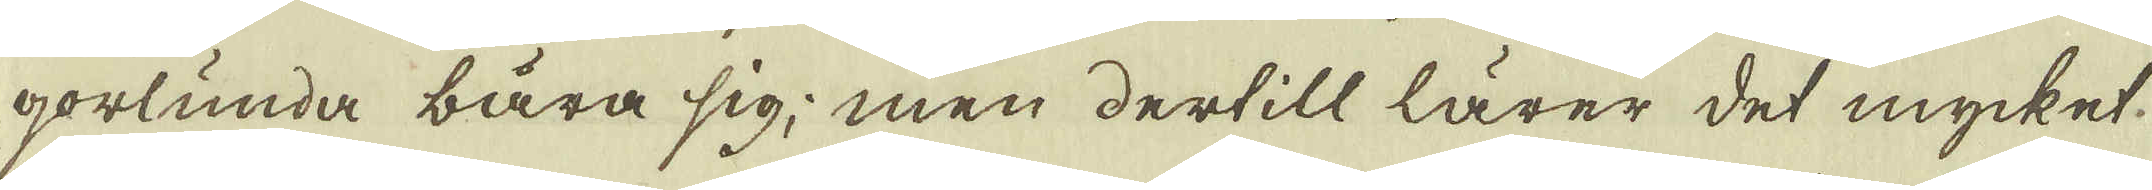gorlunda bära sig; men dertill lärer det mycket.
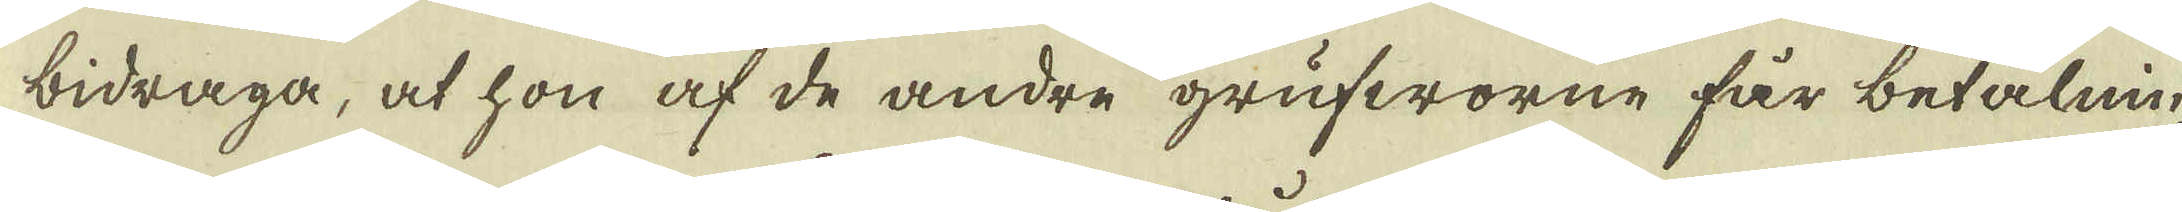bidraga, at hon af de andre grufworne får betalnin-
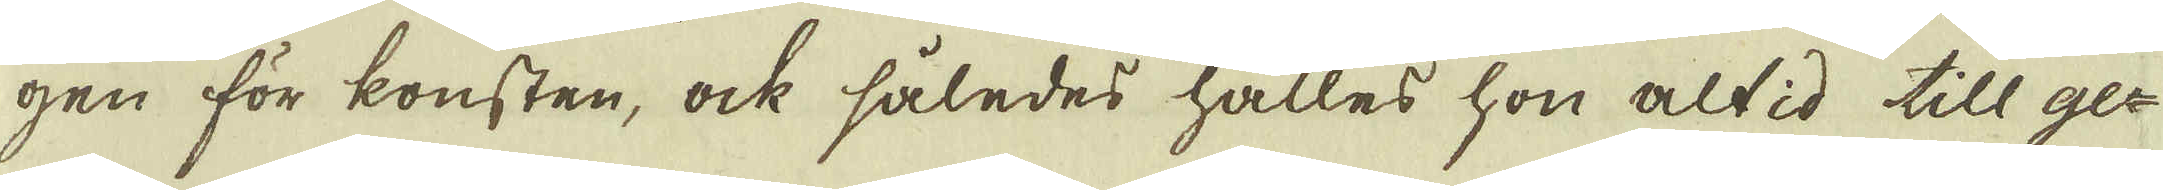gen för konsten, ock således hålles hon altid till ge-
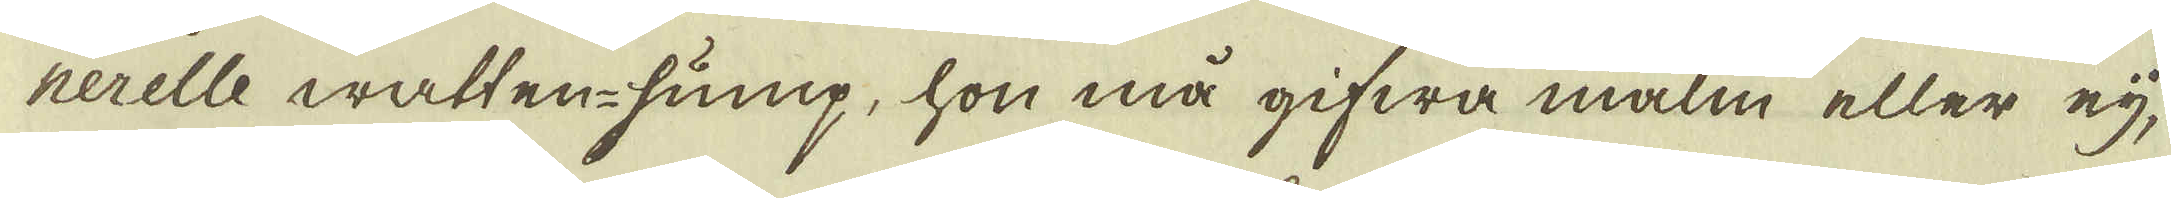nerelle watten-pump, hon må gifwa malm eller eij,
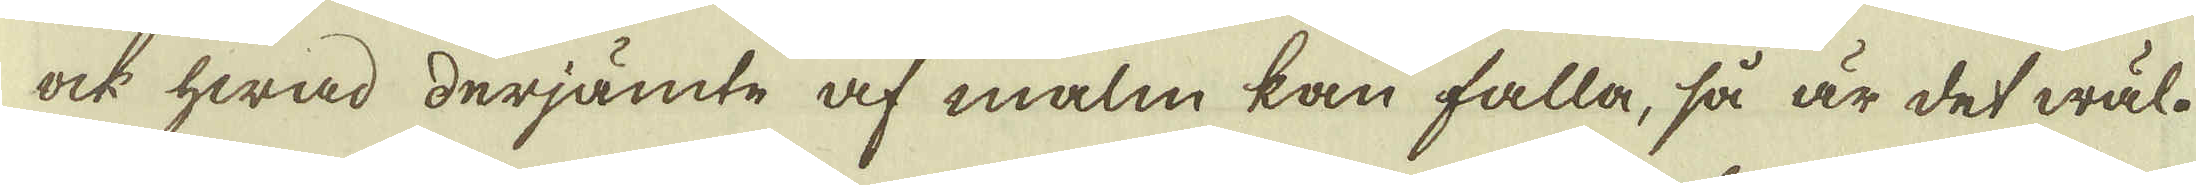ock hwad derjämte af malm kan falla, så är det wäl.
